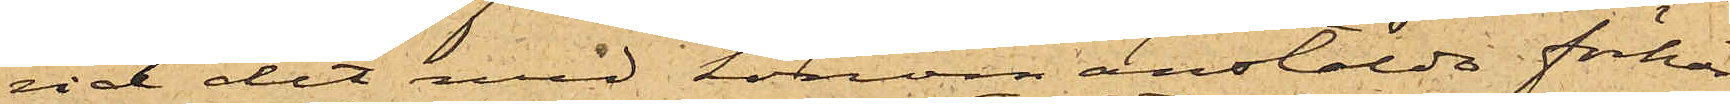vid det med honom anstälde förhör
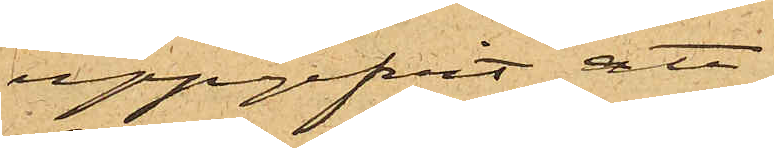uppgifvit att
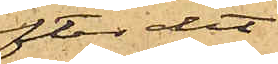efter det
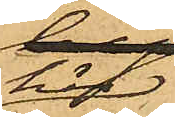att
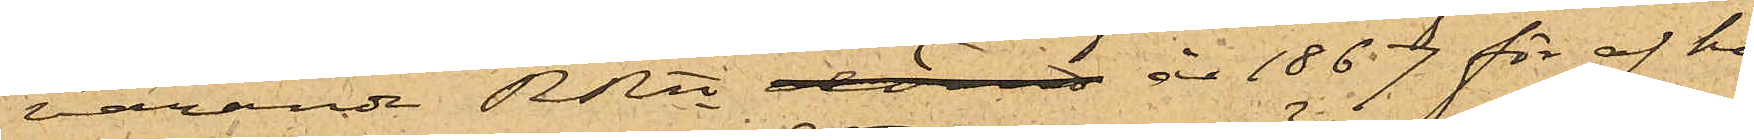härvarande RRtt  år 1867 för af ho¬
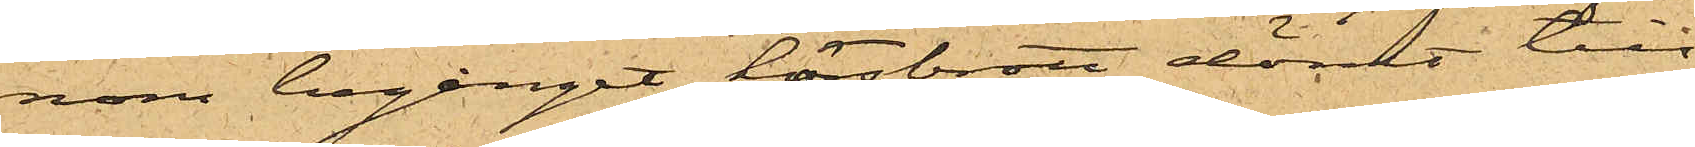nom begånget horsbrott dömt till
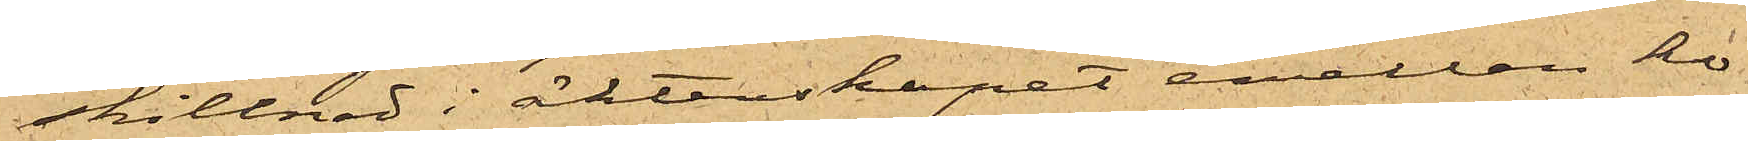skillnad i äktenskapet emellan ho¬
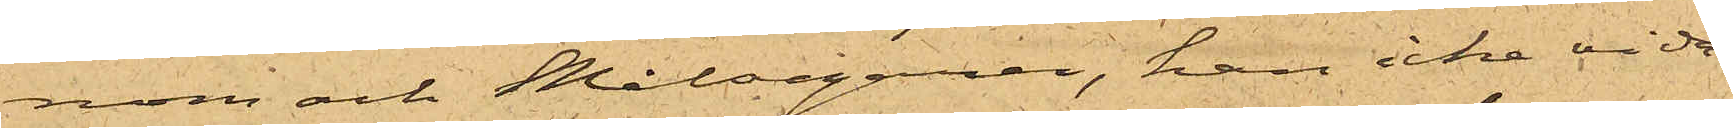nom och Målsegaren, han icke vida¬
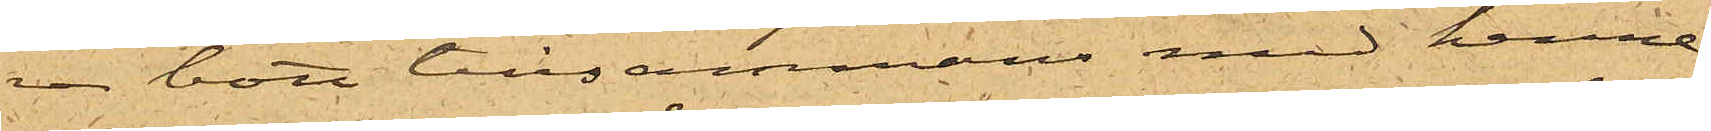re bott tillsammans med henne;
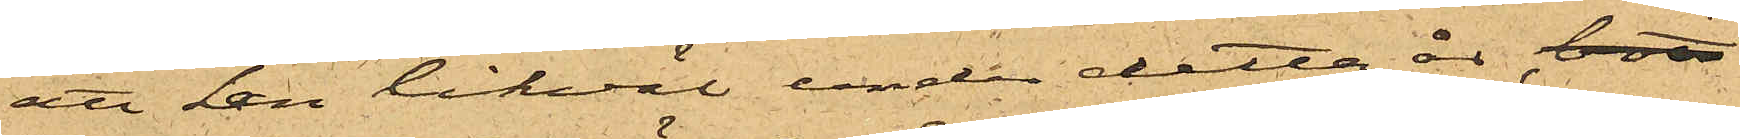att han likväl under detta år, bott
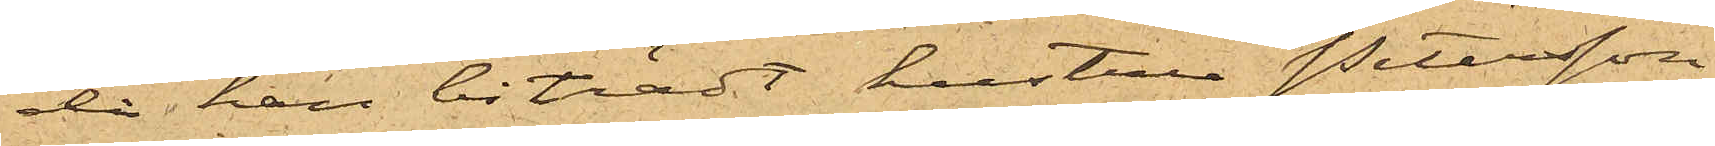då han biträdt hustru Petersson
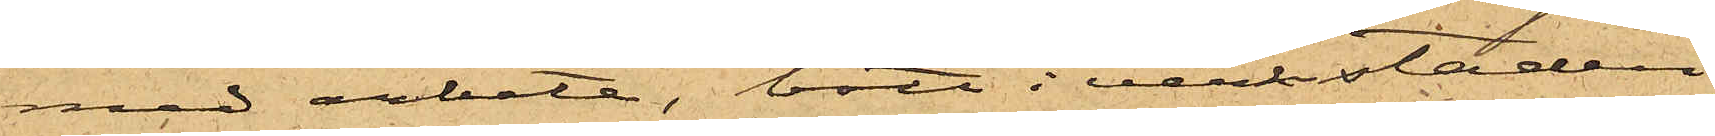med arbete, bott i verkstaden;
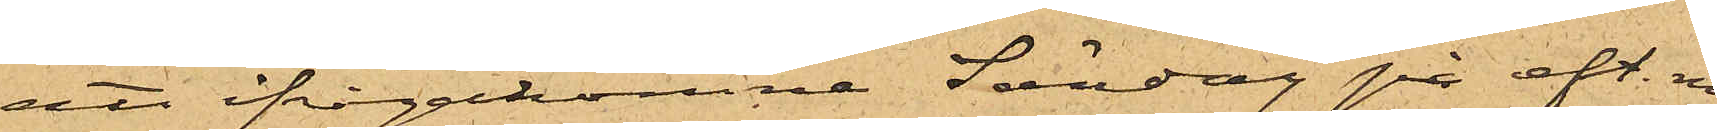att ifrågakomne Söndag på eft. m.
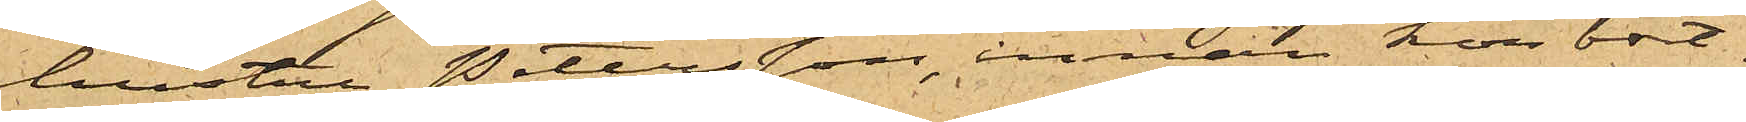hustru Petersson, innan hon bort¬
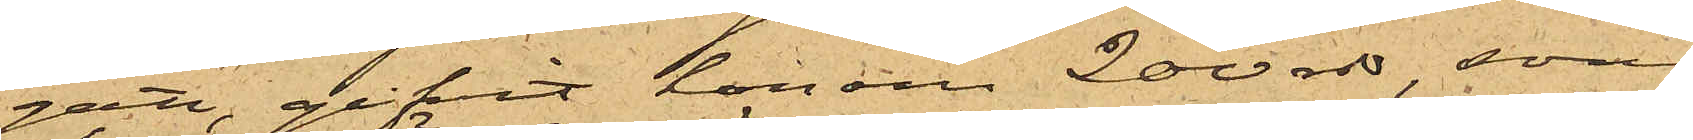gått, gifvit honom 200 rdr, som
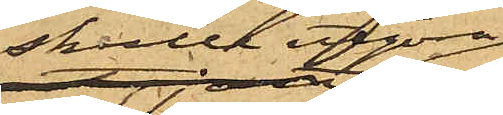skulle  utgöra
